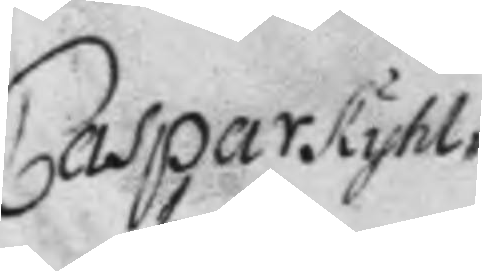Caspar Kyhl¬
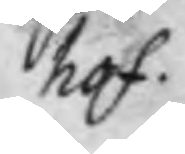hof
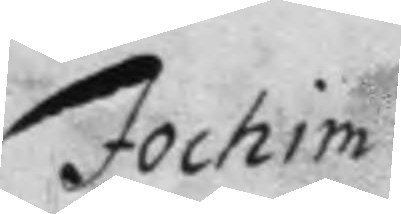Jochim
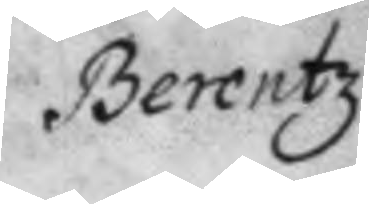Berentz
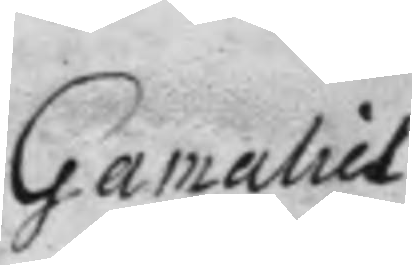Gamaliel
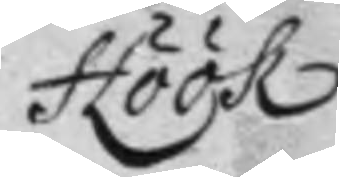Höök
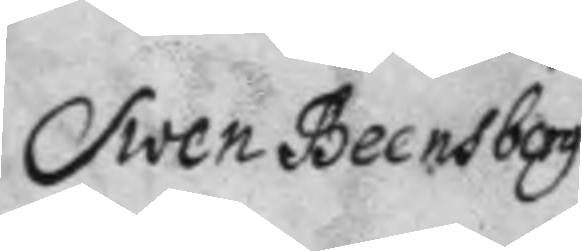Swen Beensborg
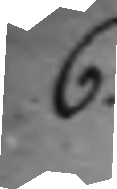6.
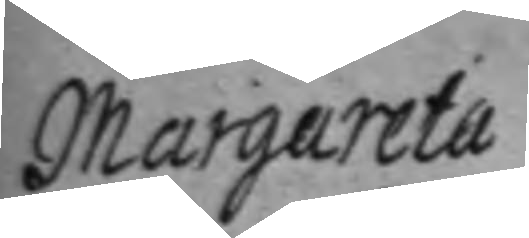Margareta
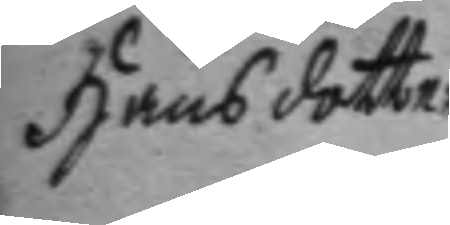Hansdotter
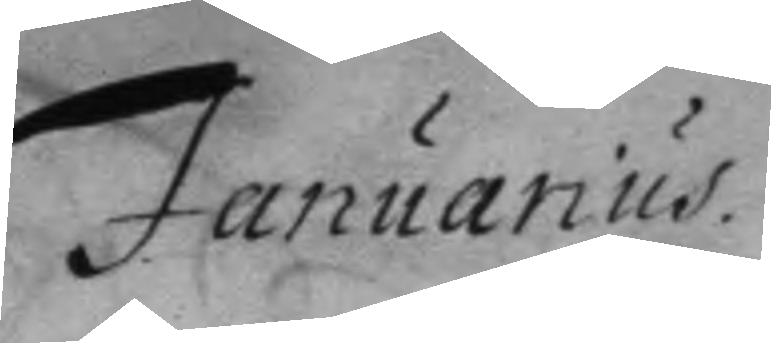Januarius.
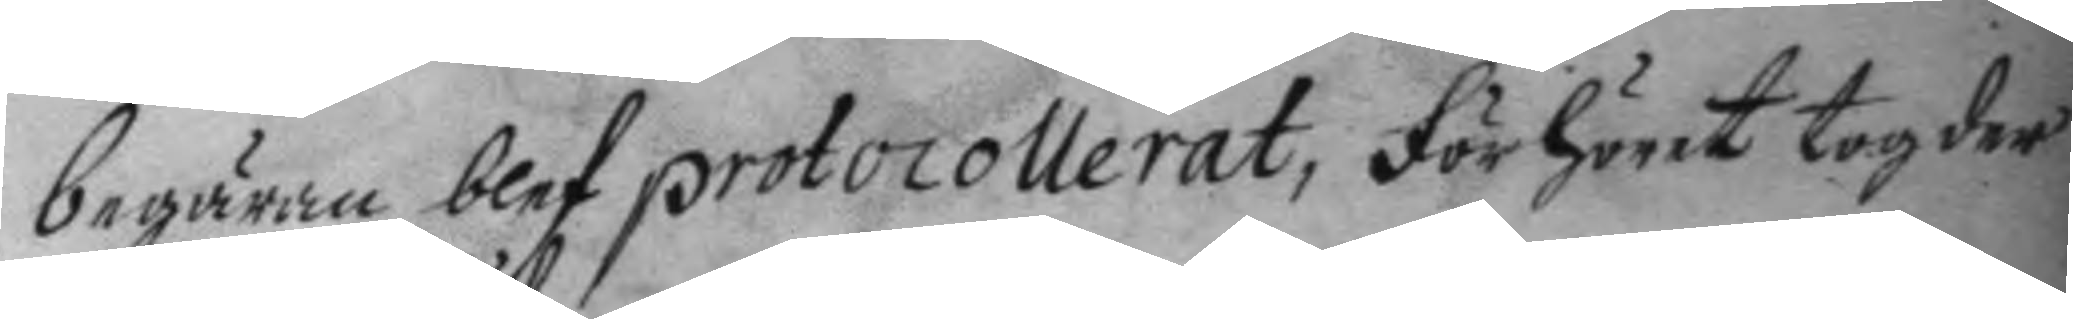begäran blef protocollerat, förhöret tog der
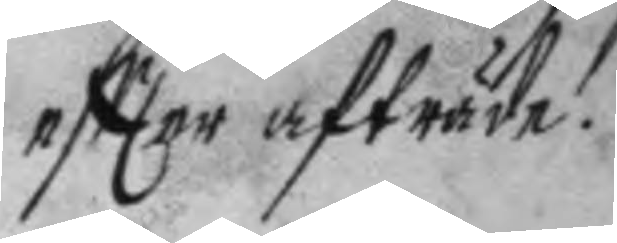eftter afträde.
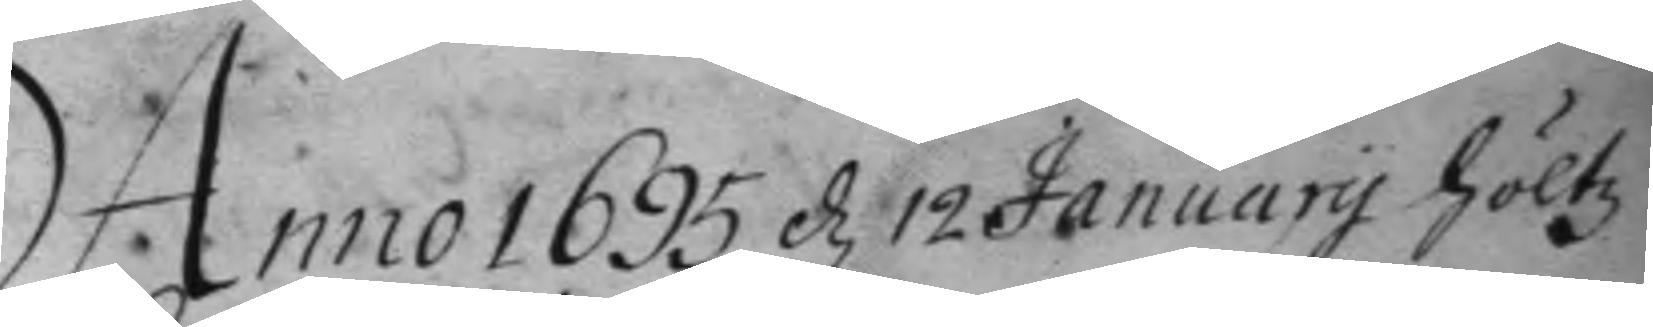Anno 1695 d 12 January höltz
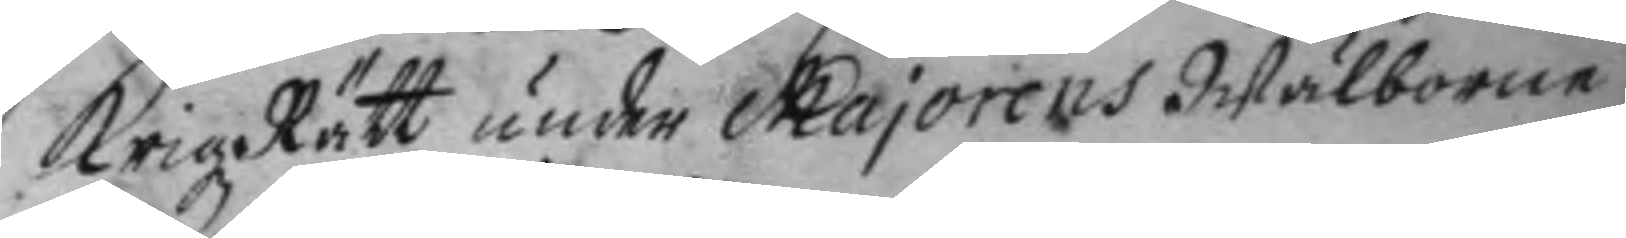Krigz Rätt under Majorens Wälborne
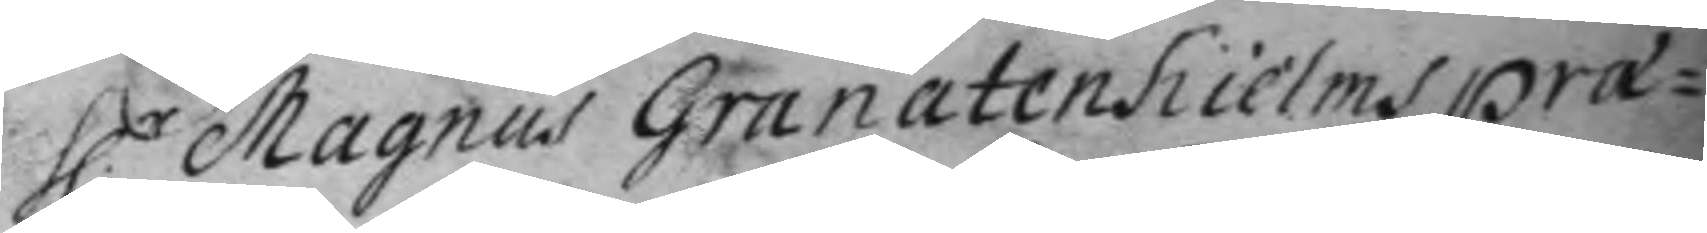H.r Magnus Granatenhielms præ¬
